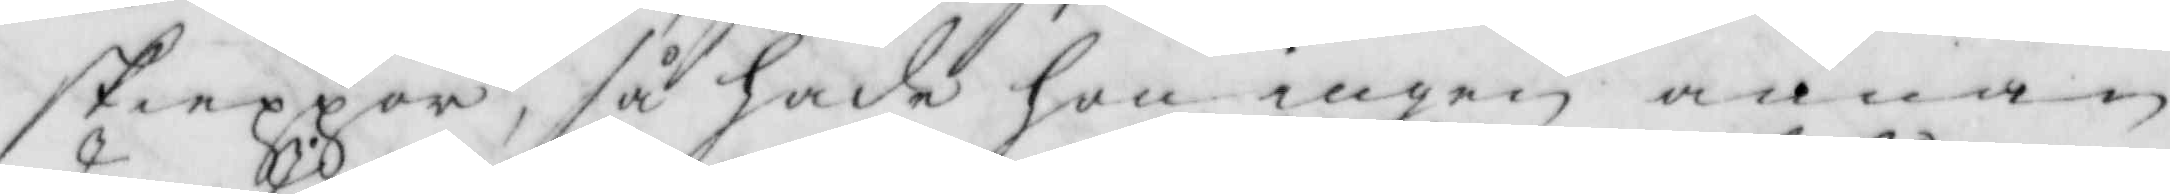skiäppor, så hade hon ingen annan
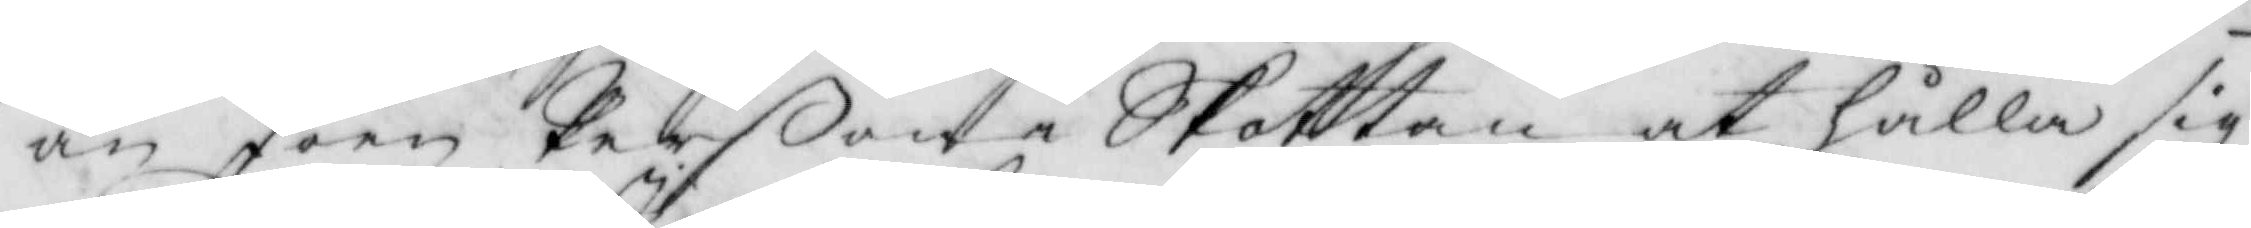än Joen Perßon i Skottan at hålla sig
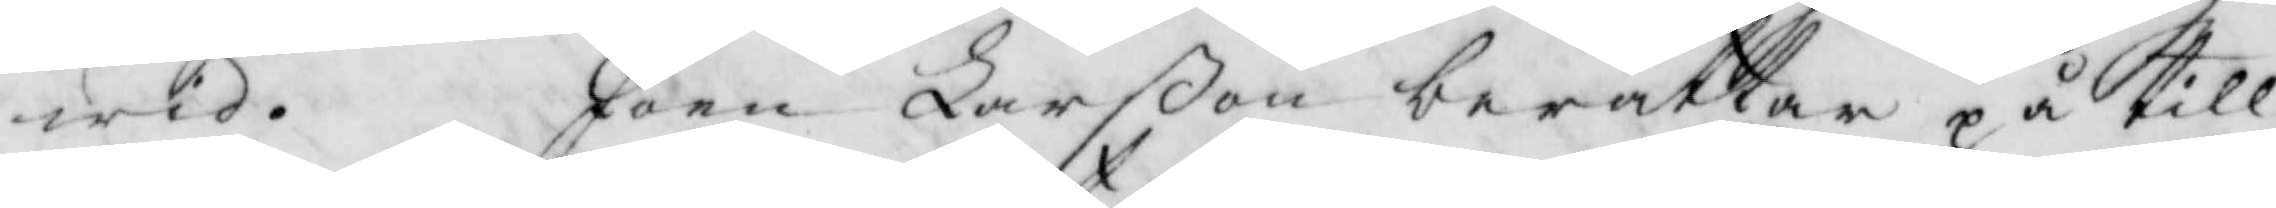wid. Joen Larßon berättar på till¬
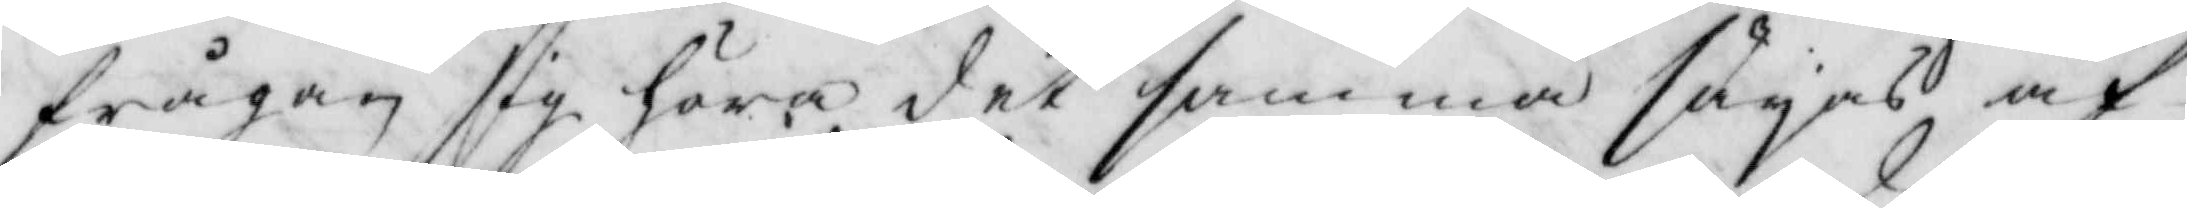frågan sig höram det samma säyas af
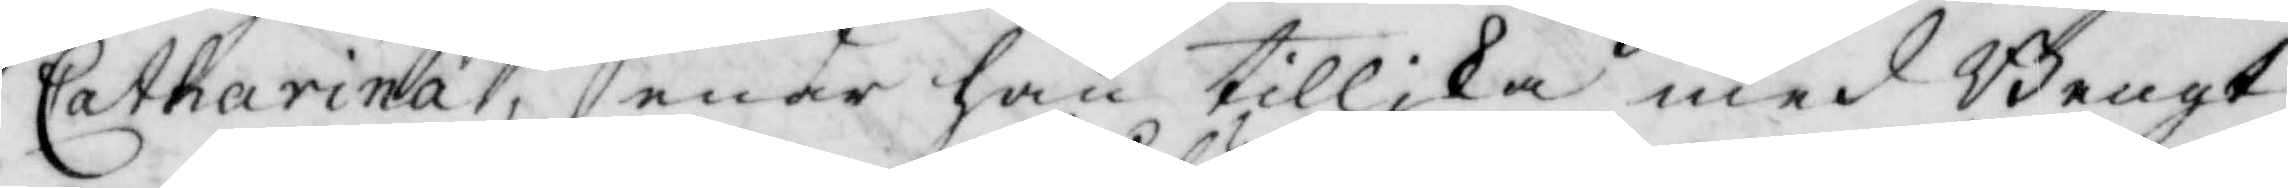Catharina, enär han tillika med Bengt
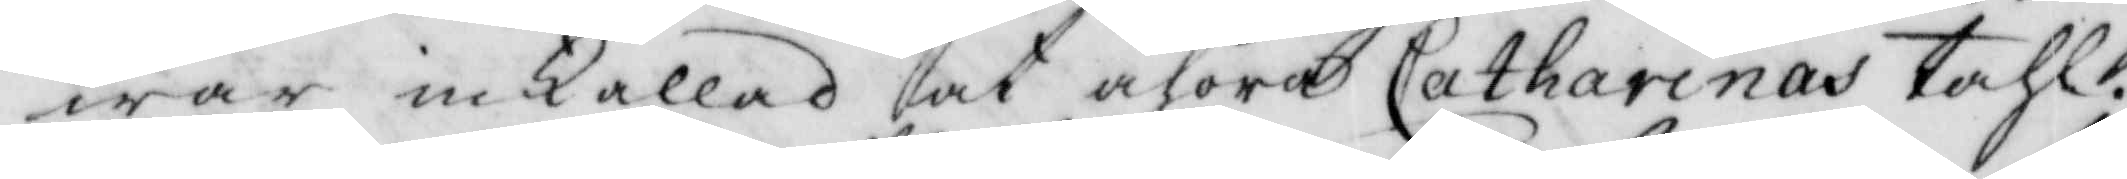war inkallad at åhöra Catharinas tahl.
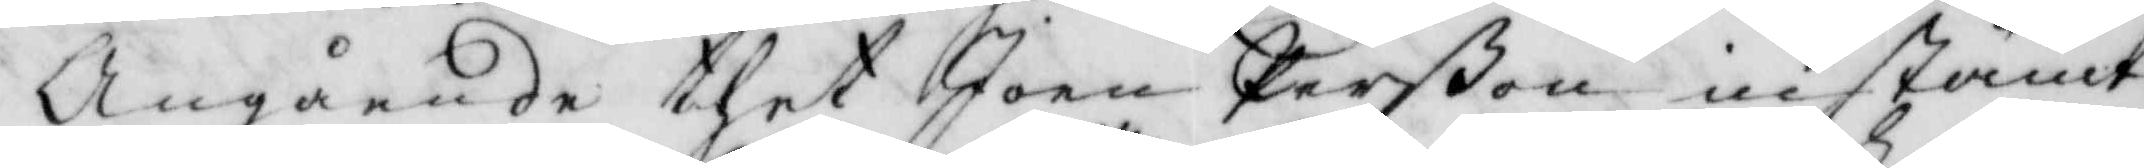Angående thet Joen Perßon instämt
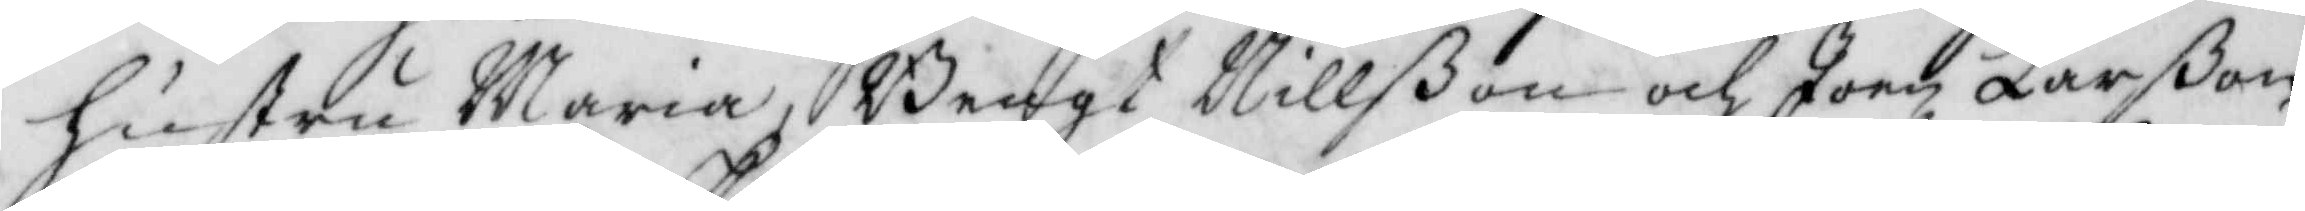hustru Maria, Bengt Nillßon och Joen Larßon
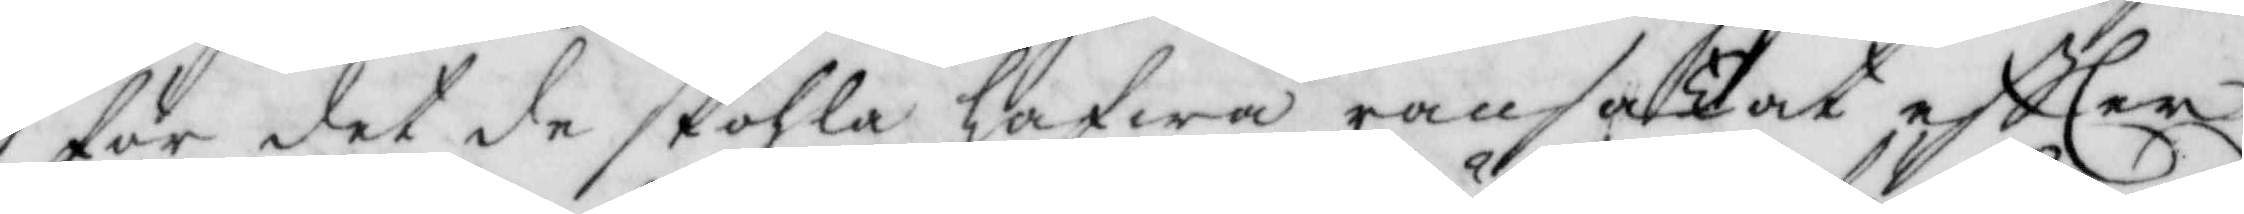för det de skohla hafwa ransakat eftter
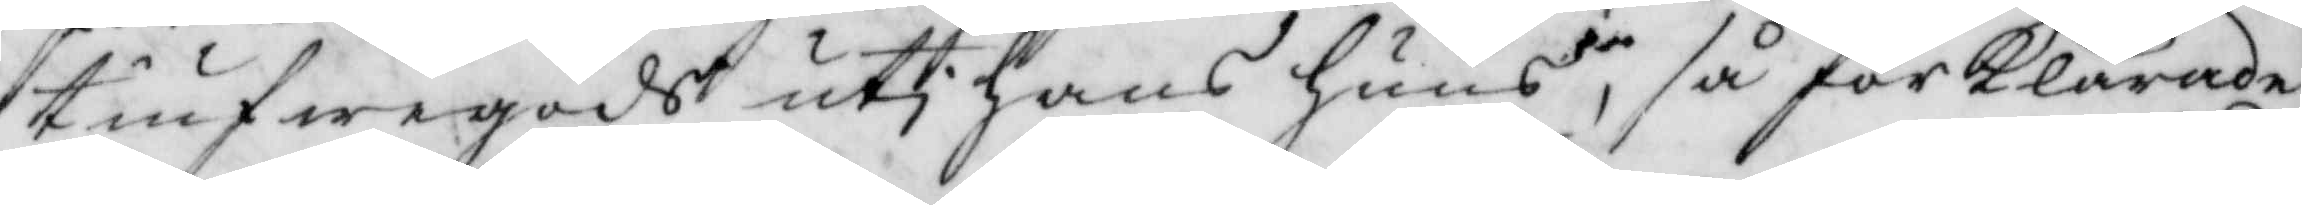tiufwegods uti hans huus, så förklarade
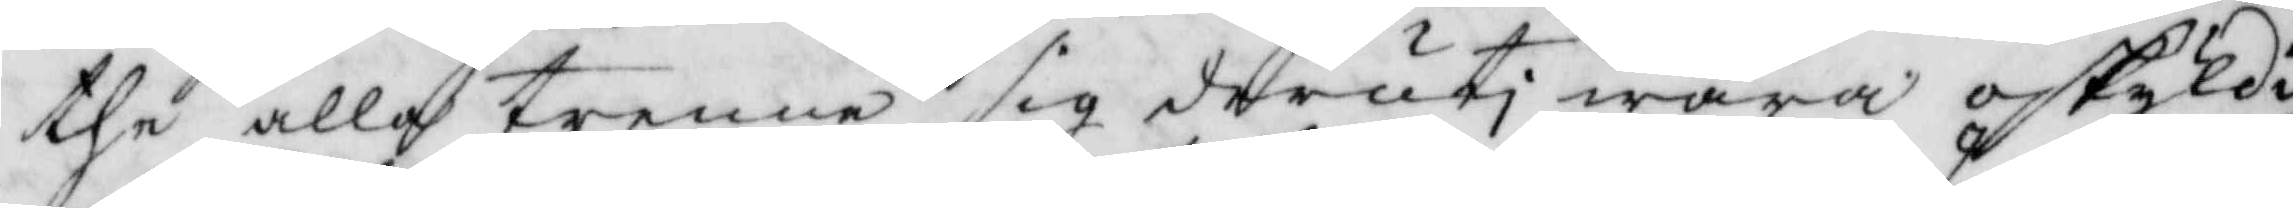the alla trenne sig deruti wara oskyldi¬
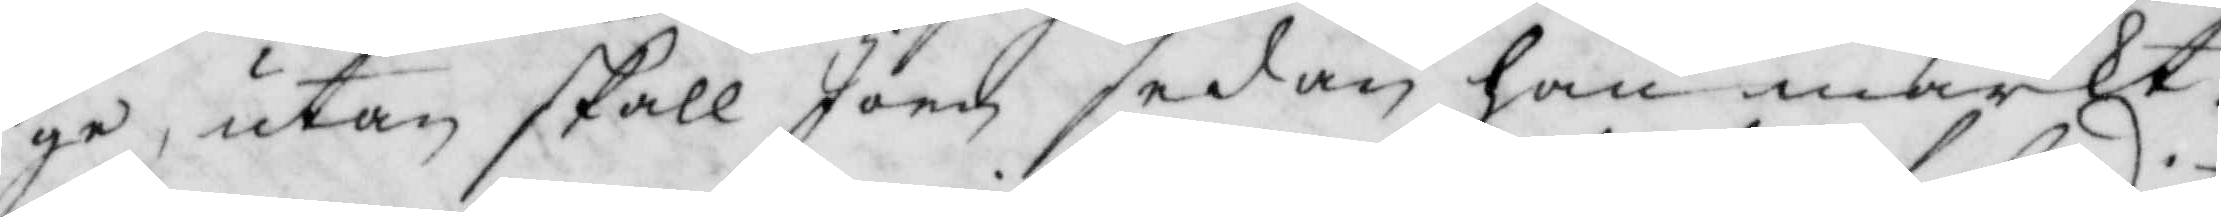ge, utan skall Joen sedan han märkt
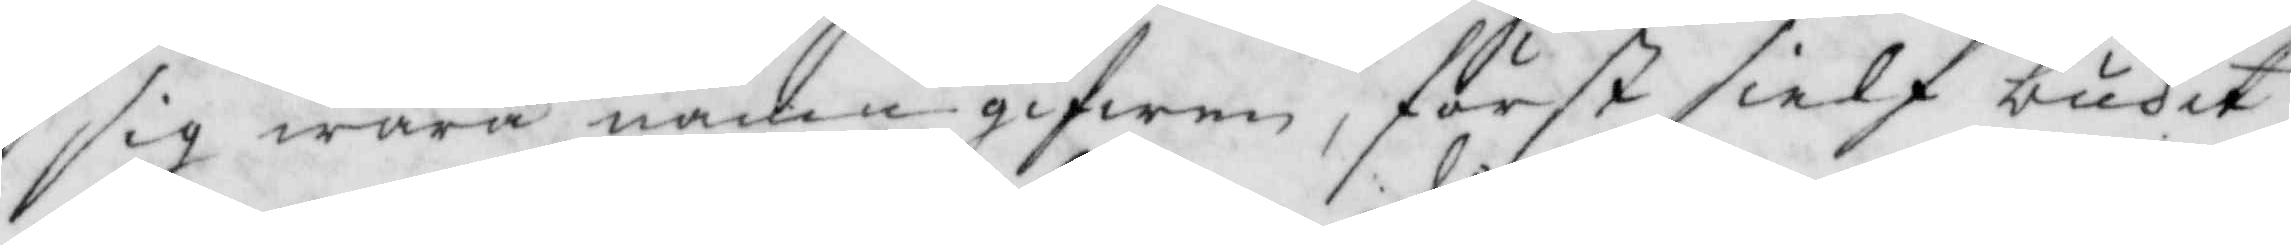sig wara namngifwen, först sielf budet
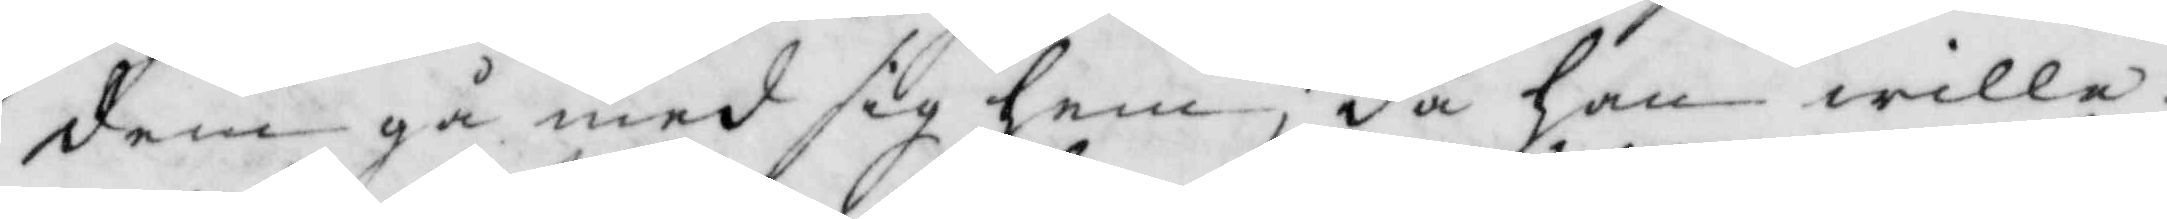dem gå med sig hem, då han wille
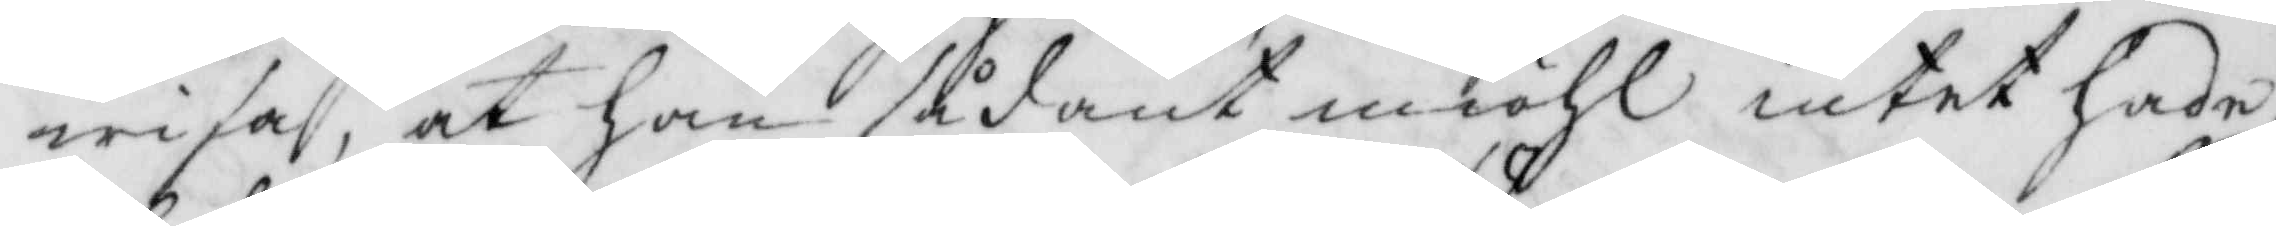wisa, at han sådant miöhl intet hade
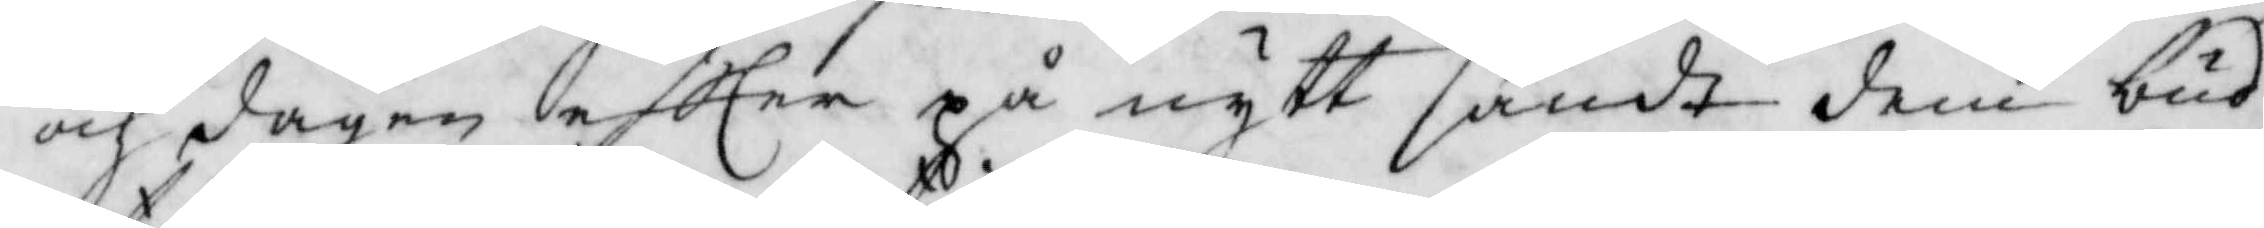och dagen eftter på nytt sändt dem bud
